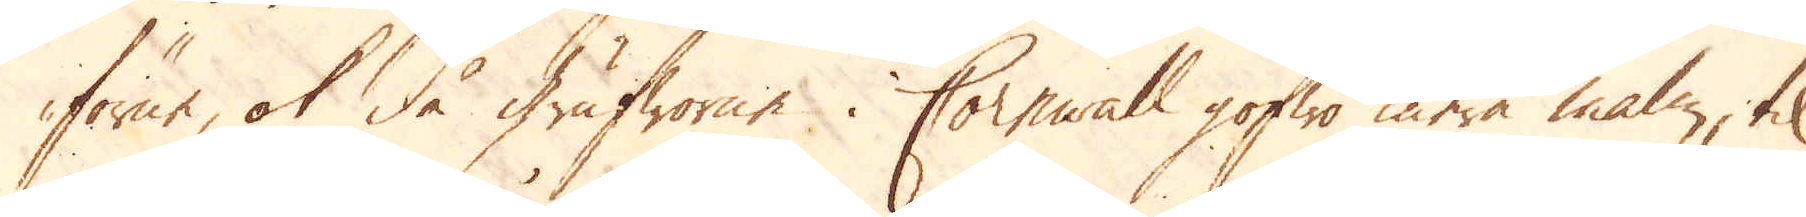förne, ok då grufworne i Cornwall gofwo mera malm, til
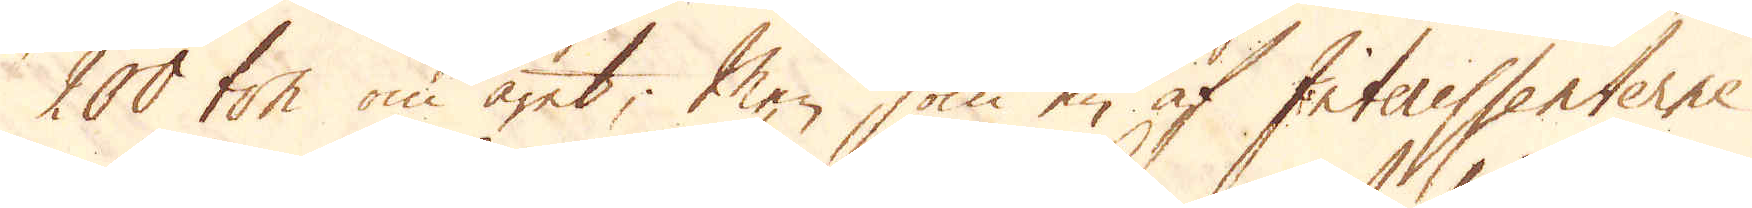200 ton om året; Men som en af Interessenterne
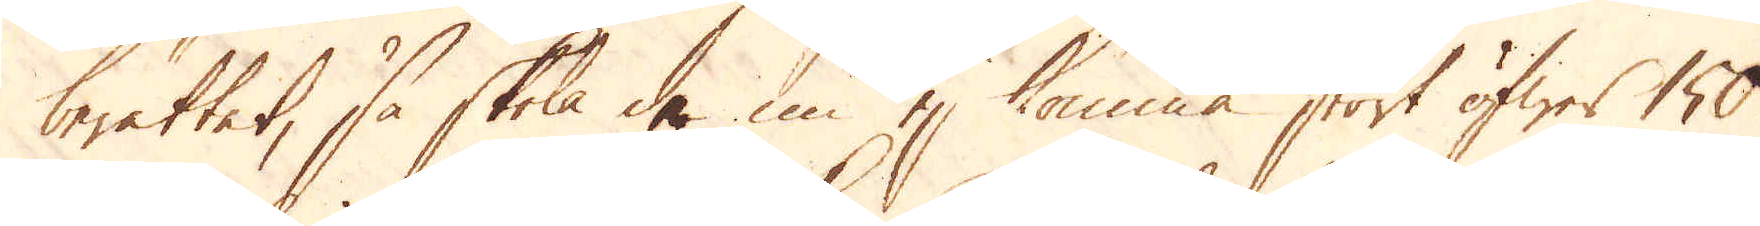berättet, så skola de nu ej komma stort öfwer 150
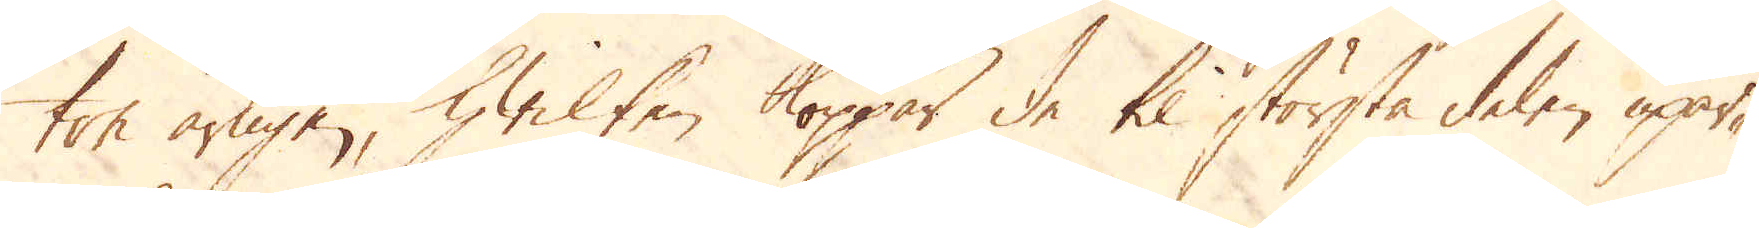ton årligen, hwilken koppar de til största delen upar-
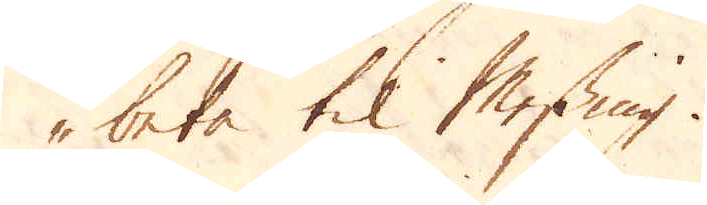beta til Messing.
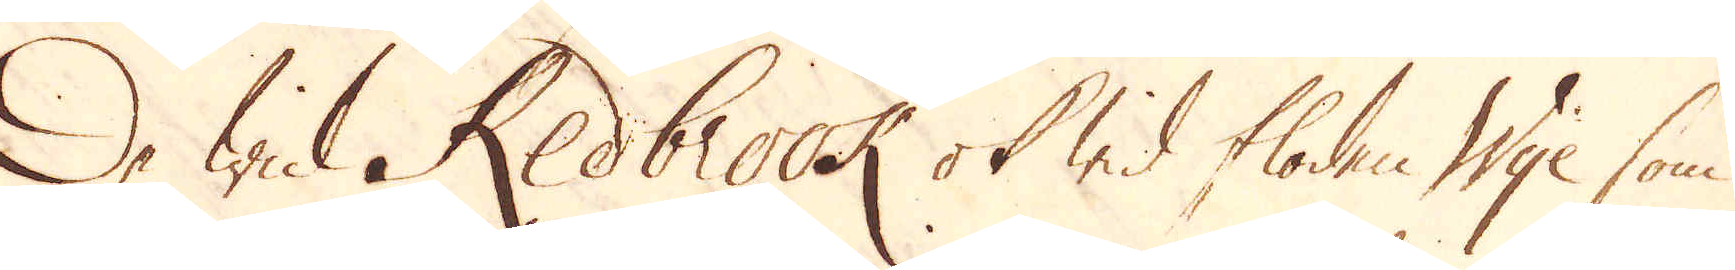De wid Redbrook ok wid floden Wye som
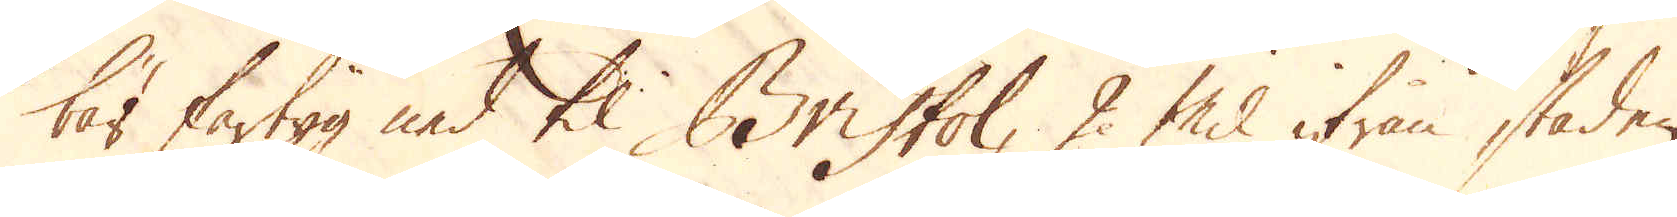bär fartyg ned til Bristol, 2 mil ifrån staden
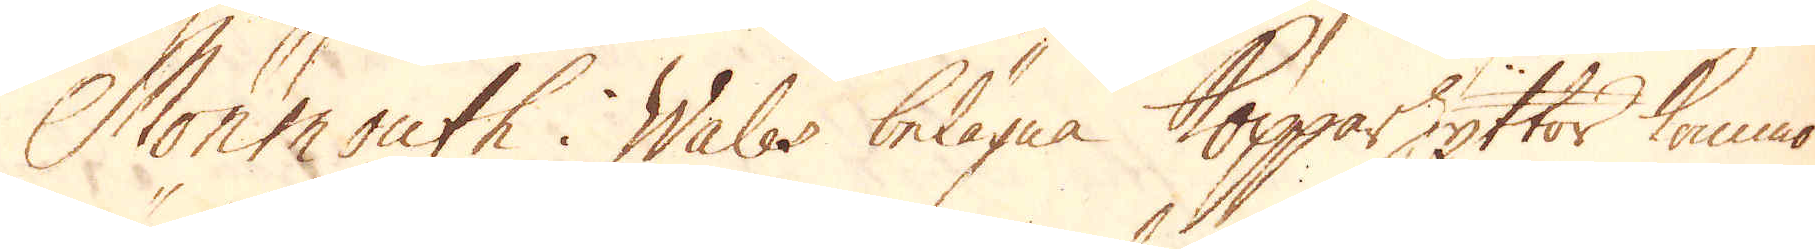Monmouth i Wales belägna Kopparhyttor kommo
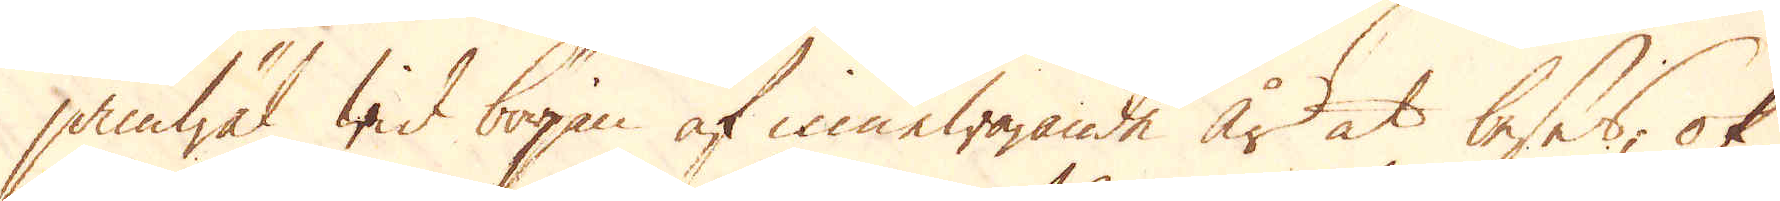jämwäl wid början af innewarande år at beses, ok
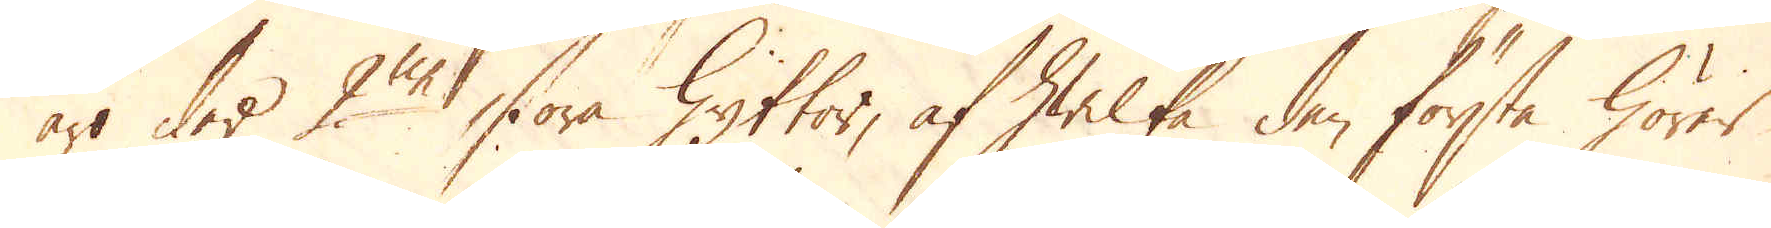äro der 2ne stora Hyttor, af hwilka den första hörer
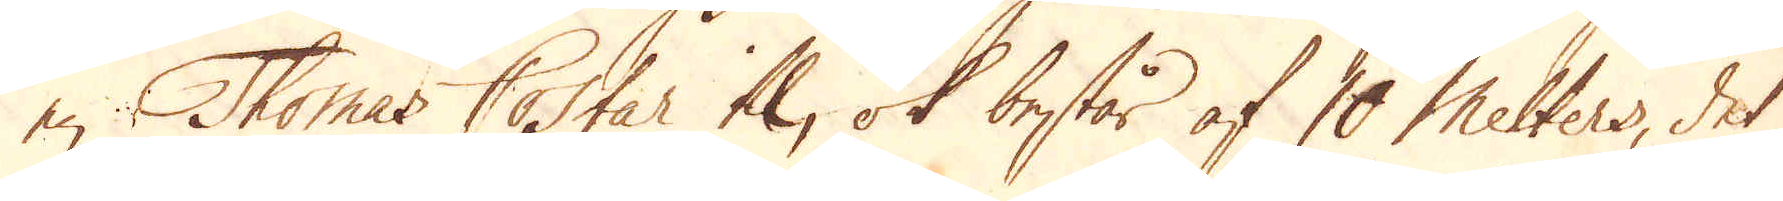en Thomas Costar til, ok består af 10 Melters, det
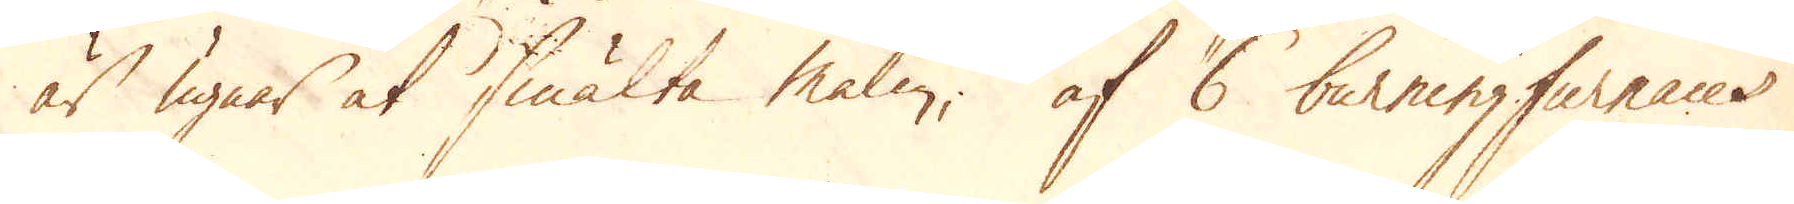är ugnar at smälta malm, af 6 burningfurnaces
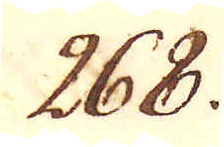268.
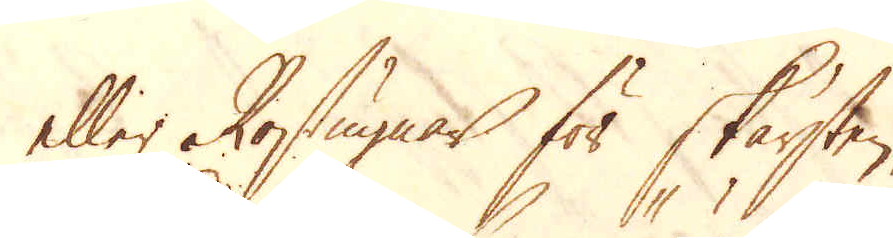eller Rostugnar för skärsten.
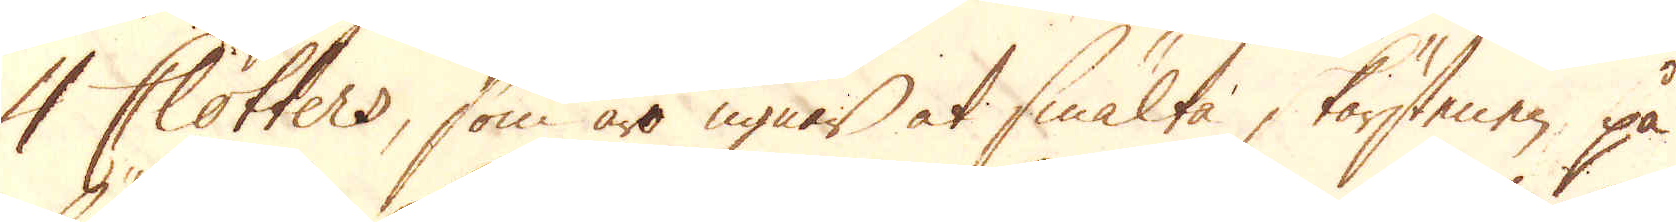4 Clotters, som äro ugnar at smälta korstenen på
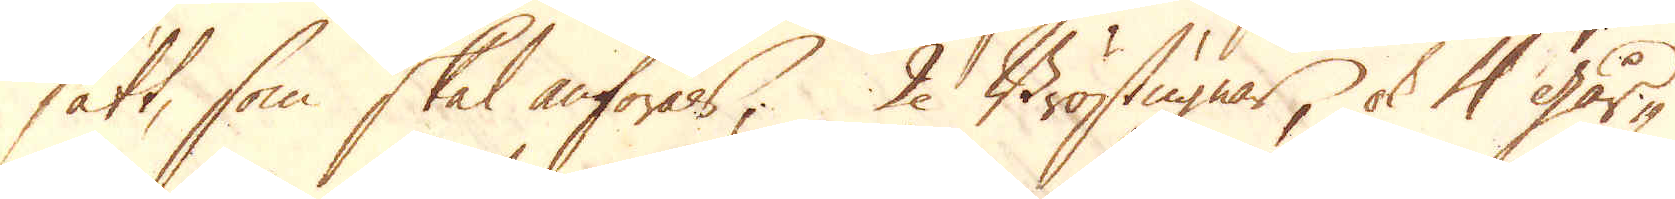sätt, som skal anföras; 2. Bröstugnar, ok 4 går-
